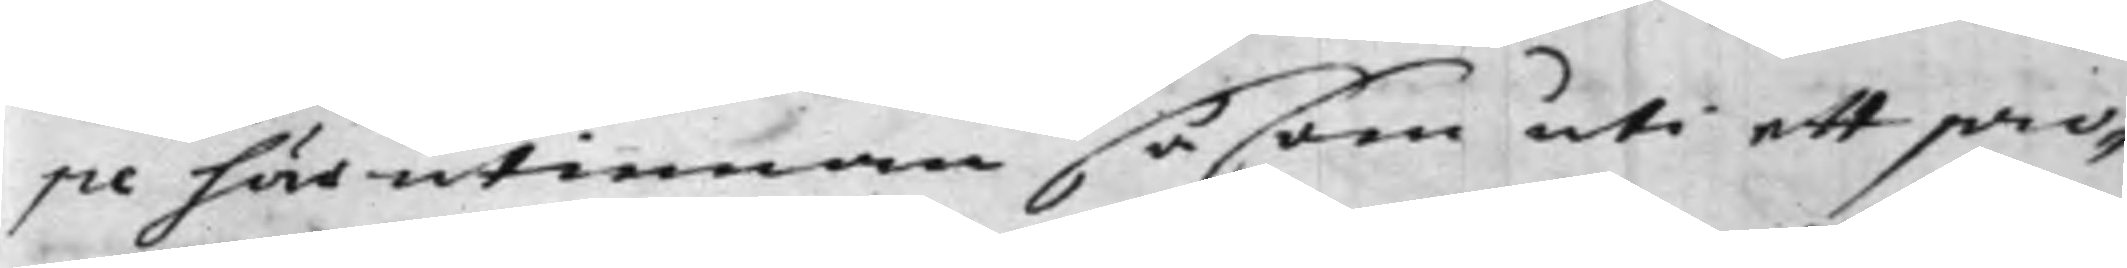pe härutinnan såsom uti ett pro¬
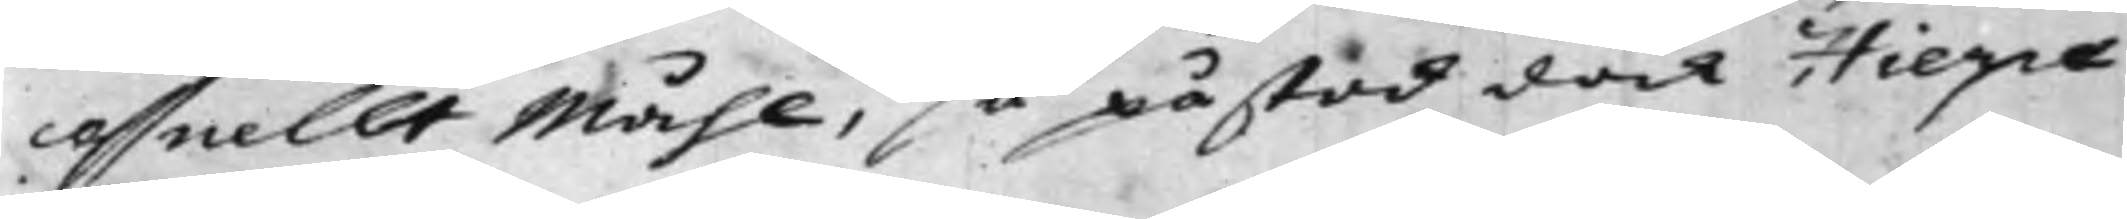cessuellt Måhl, så påstod dock Hierpe
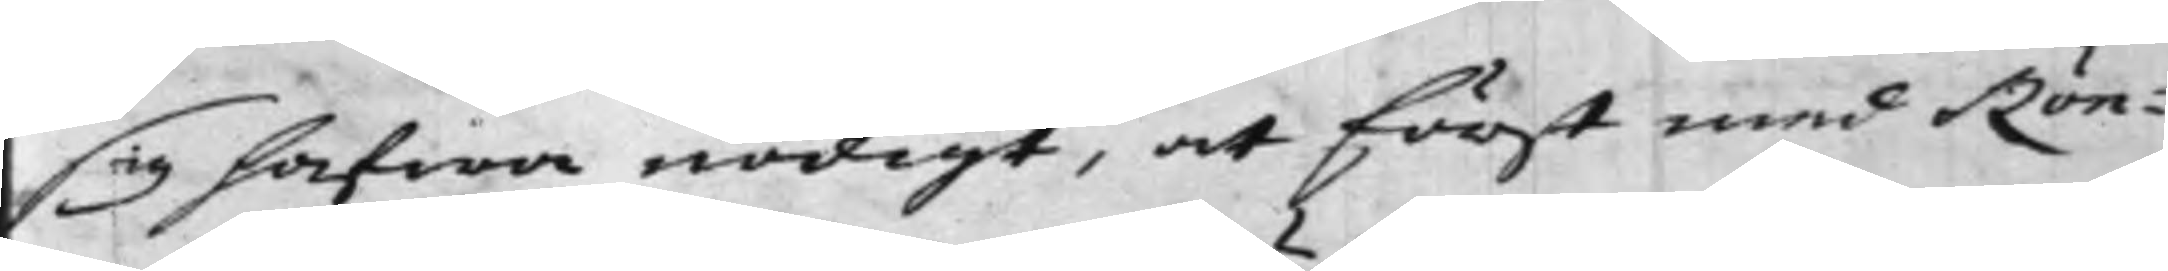sig hafwa nödigt, at först med Rön¬
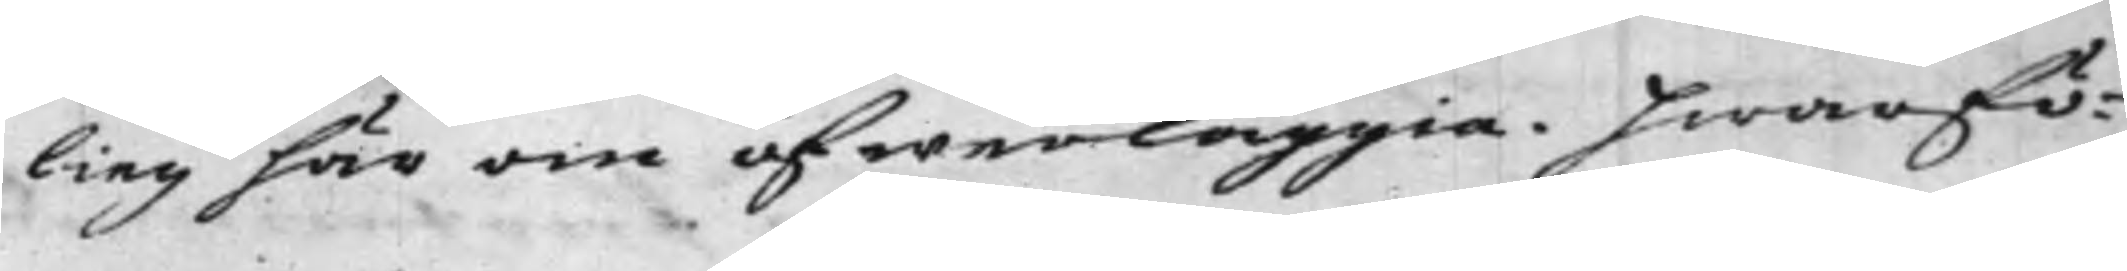ling här om öfwerläggia. Hwarfö¬
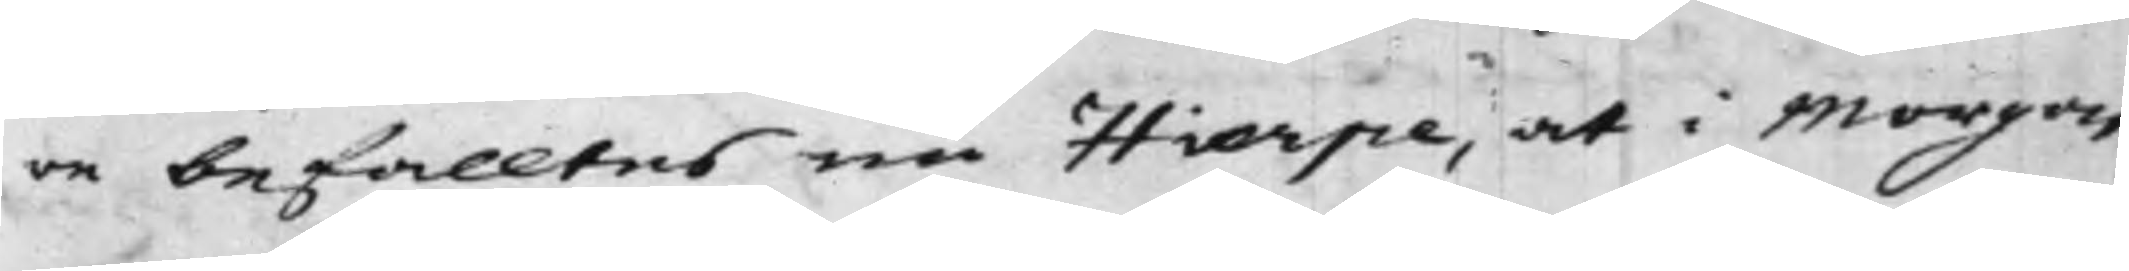re befalltes nu Hierpe, at i Morgon
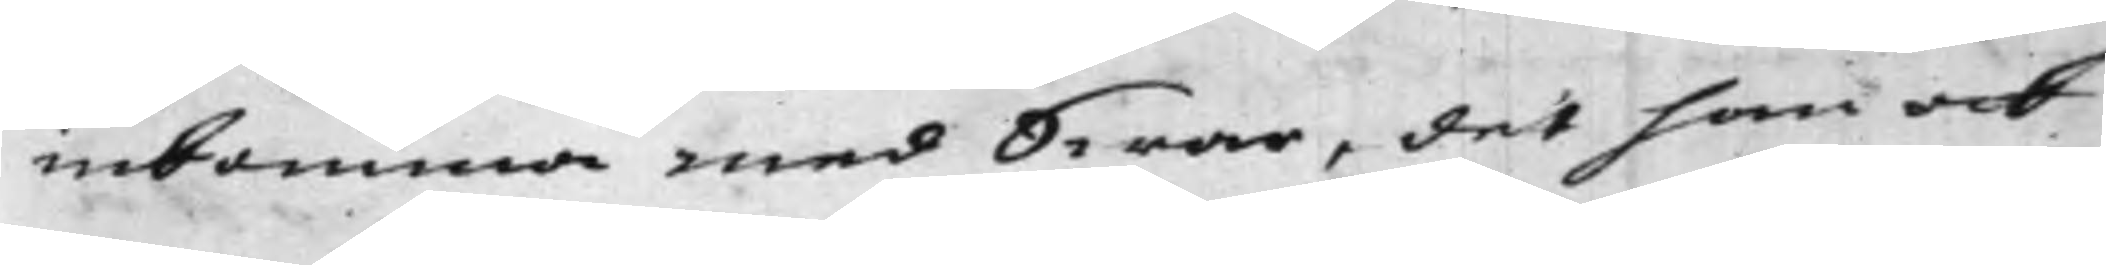inkomma med Swar, det han ock
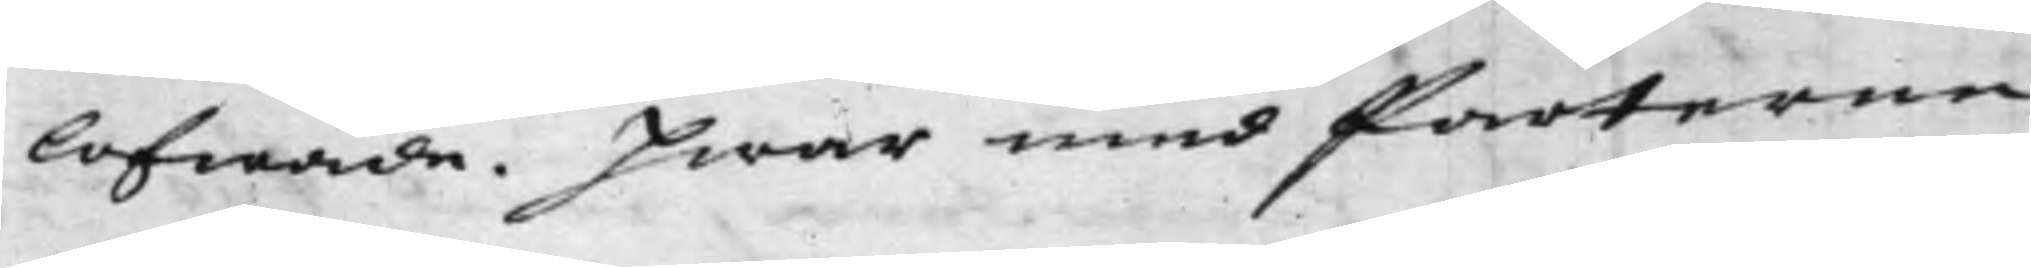lofwade. Hwar med Parterne
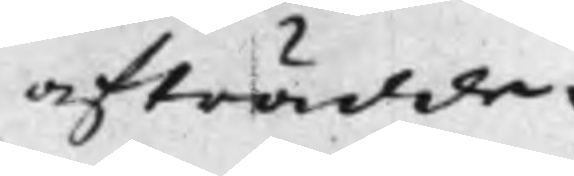afträdde.
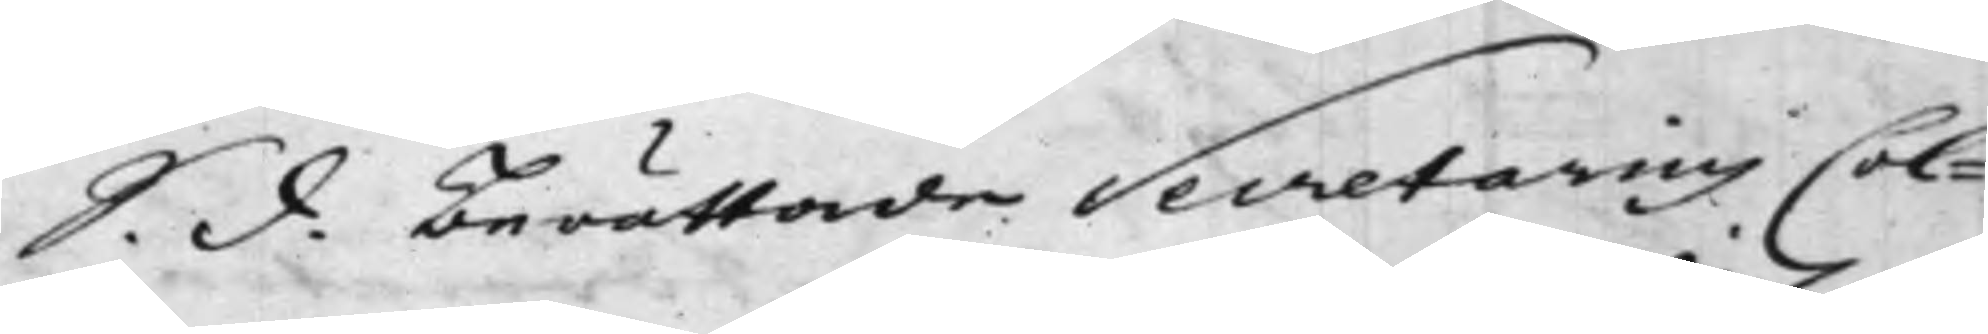S. d. Berättade Secretarius Col¬
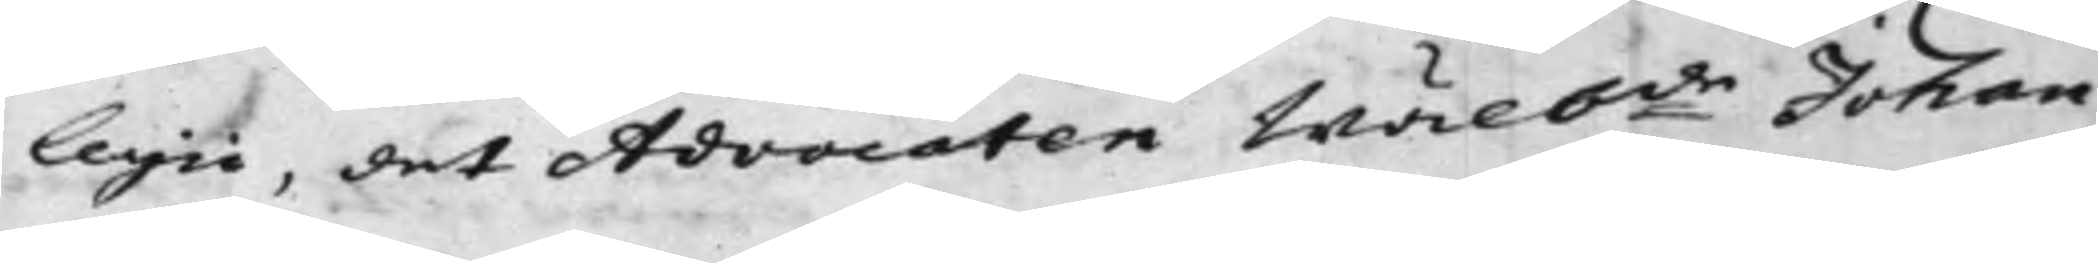legii, det Advocaten Wälb:de Johan
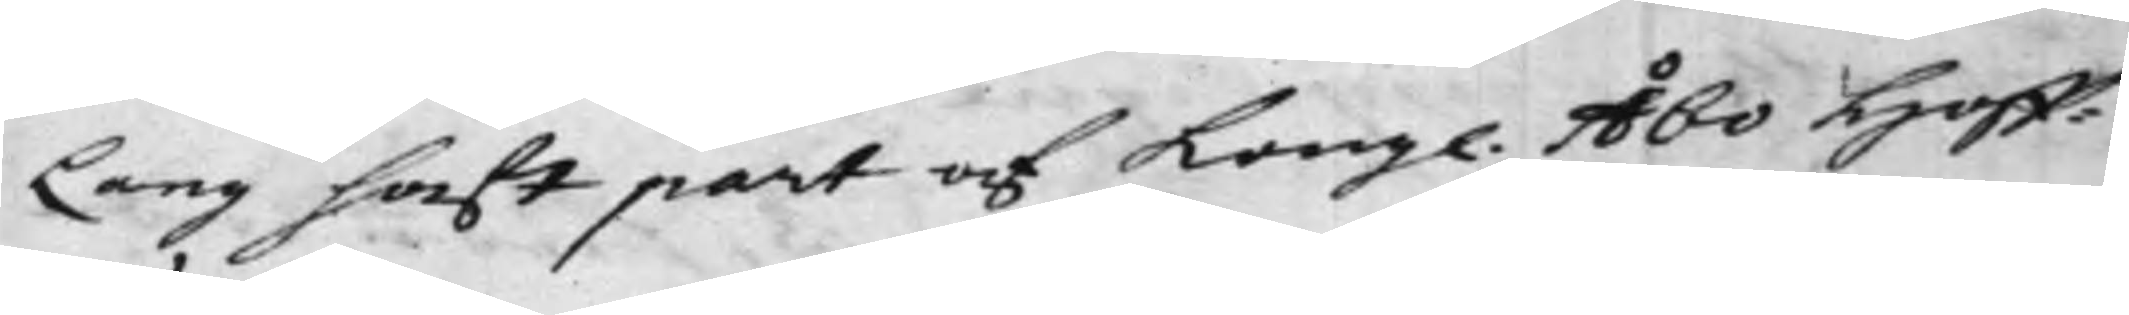Lang haft part af Kong. Åbo Hoff¬
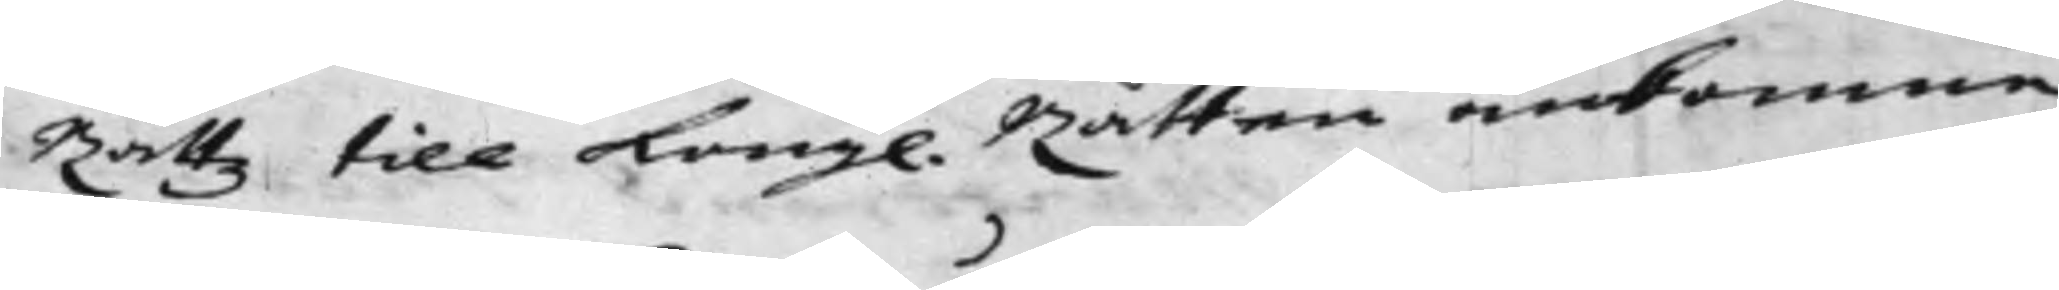Rättz till Kong. Rätten ankomne
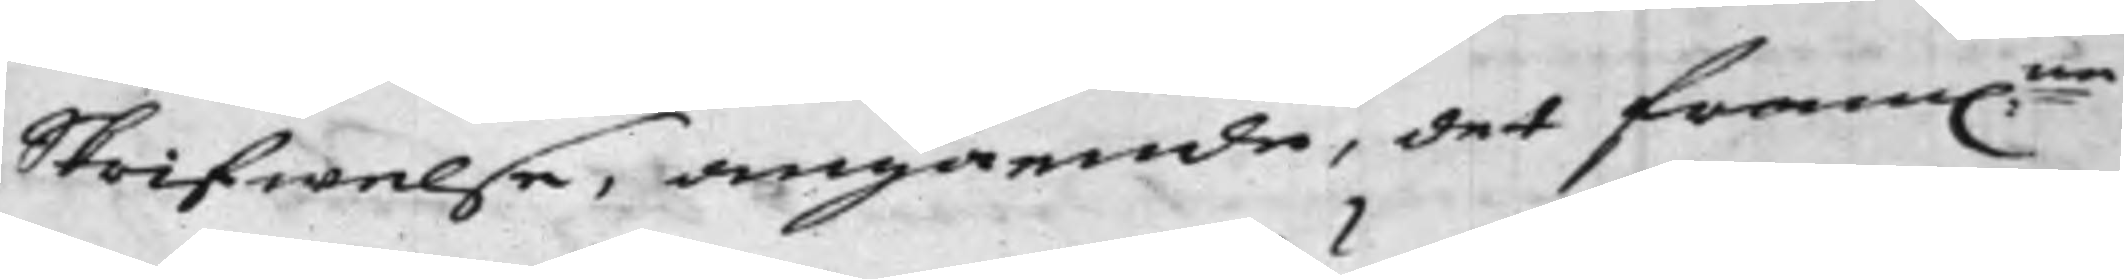Skrifwelse, angående, det fram:ne
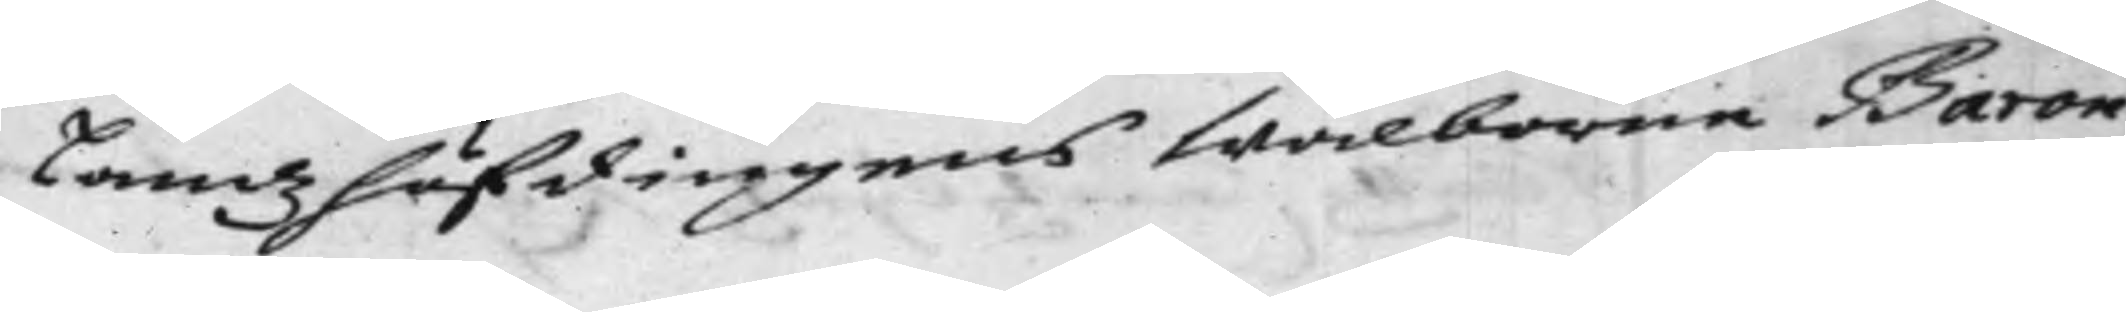Landshöfdingens Wälborne Baron
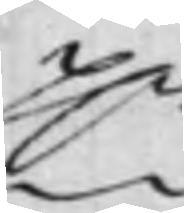H.r
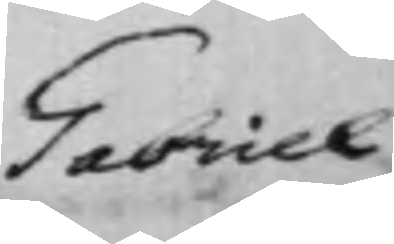Gabriel
